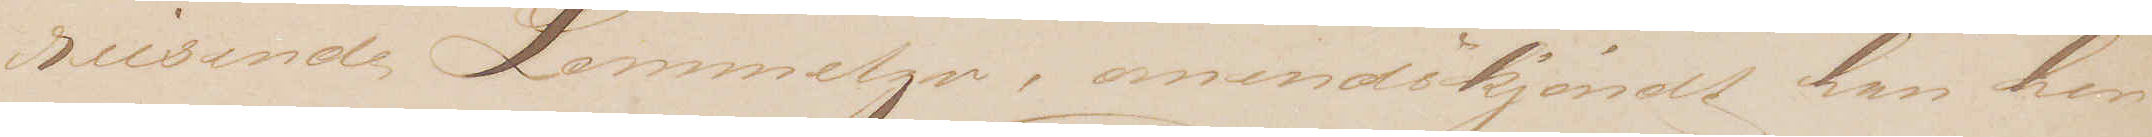reisende Lommetyv, omendskjøndt han her
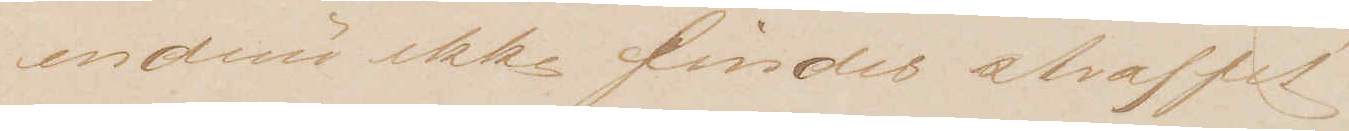endnu ikke findes straffet.
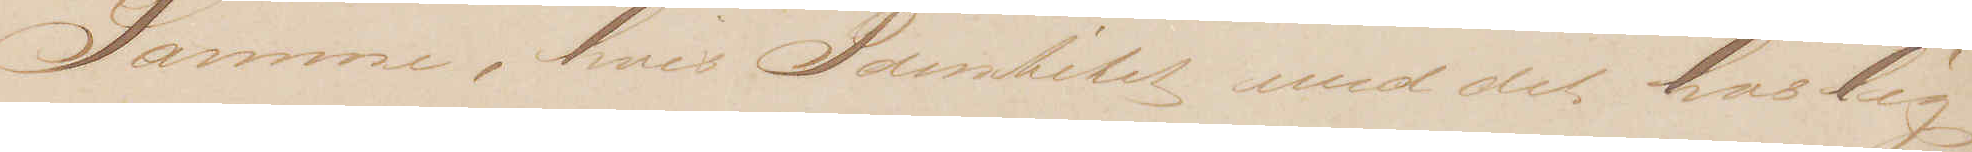Samme, hvis Identitet med det hoslig¬
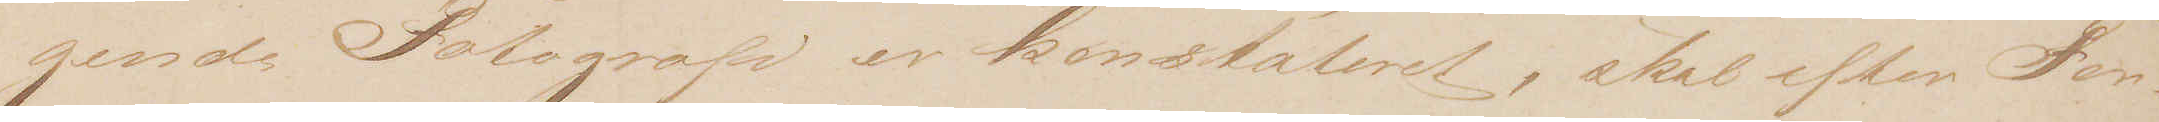gende Fotografi er konstateret, skal efter For¬
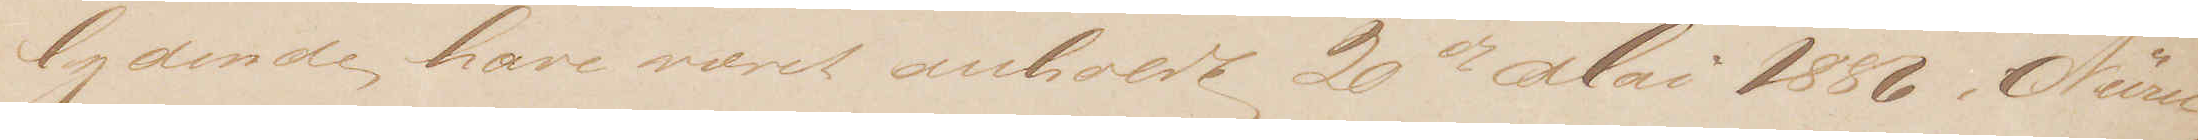lydende have været anholdt 20de Mai 1886 i Nürn¬
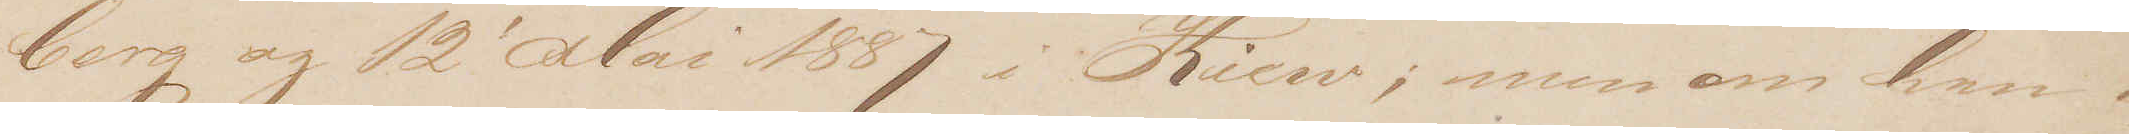berg og 12' Mai 1887 i Kiew; men om han i
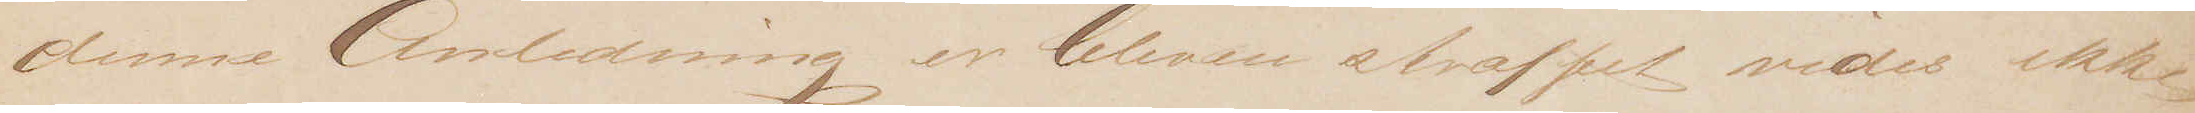denne Anledning er bleven straffet vides ikke
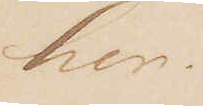her.
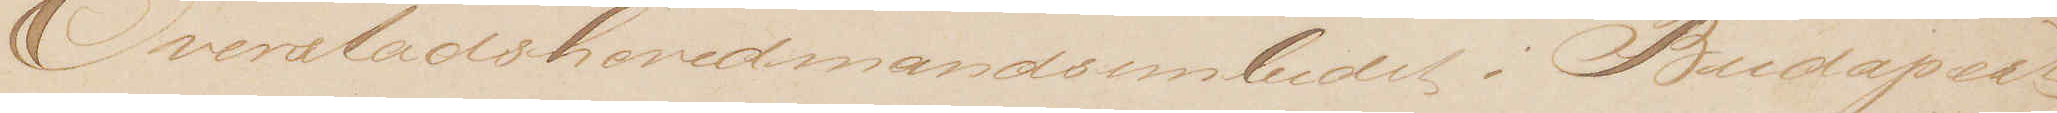Overstadshovedmandsembedet i Budapest
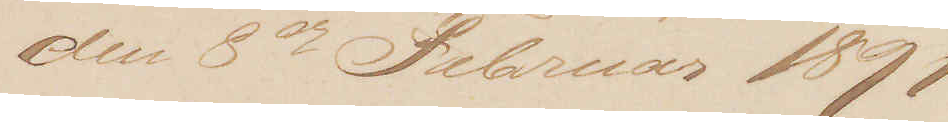den 8de Februar 1891
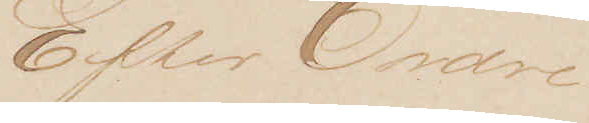Efter Ordre
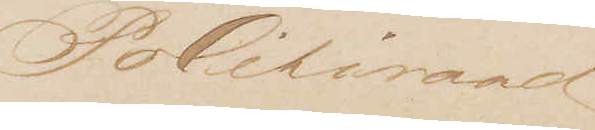Politiraad
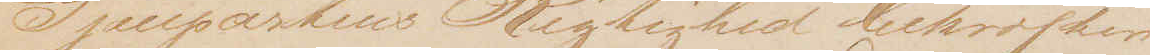Gjenpartens Rigtighed bekræftes
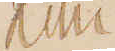Kmn
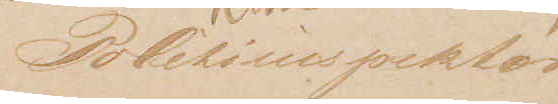Politiinspektør
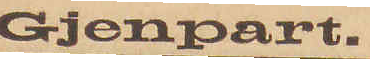Gjenpart
